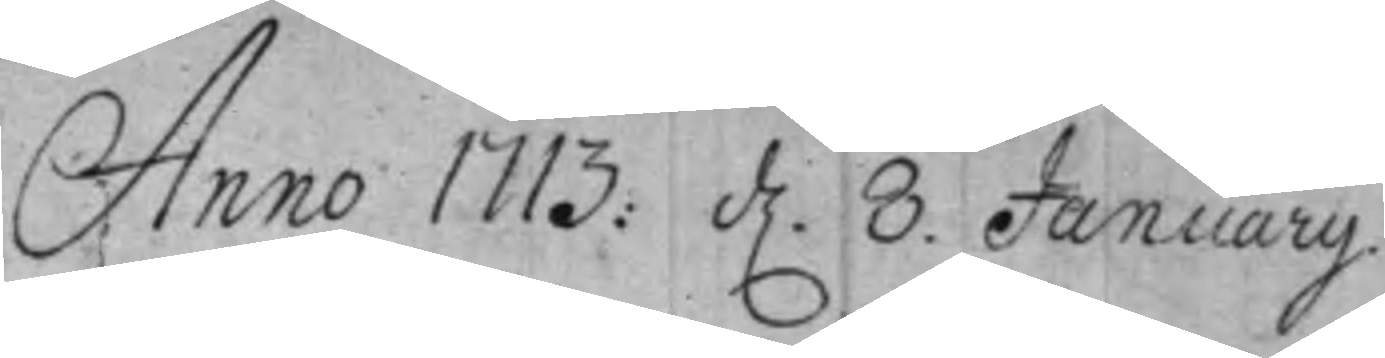Anno 1713: d. 8 Januarij
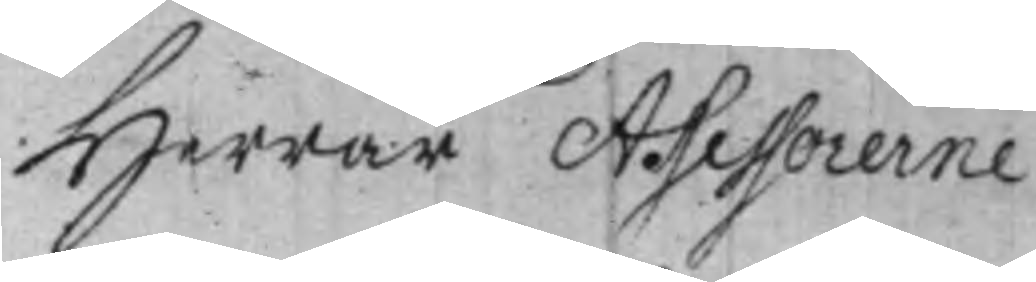Herrar Assessorerne
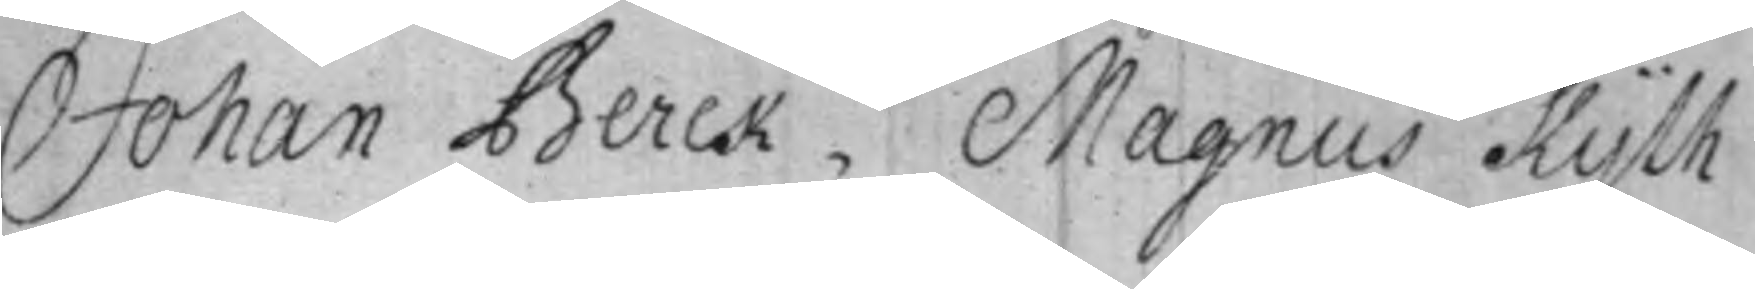Johan Berck, Magnus Kijlh
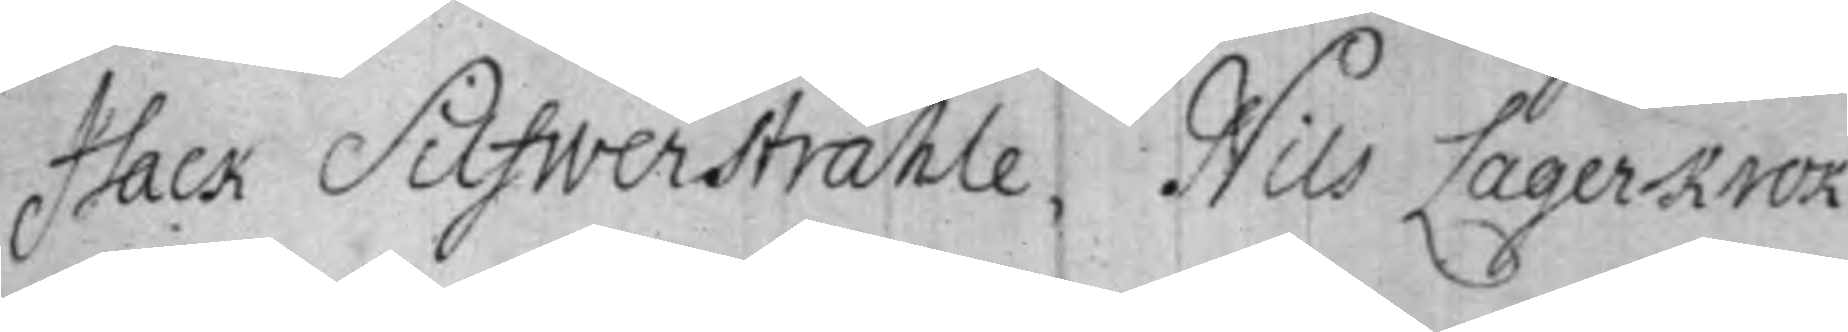Isack Silfwerstråhle, Nils Lagerkrok
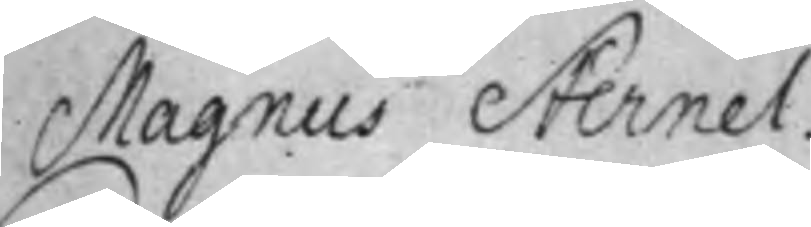Magnus Sternel.
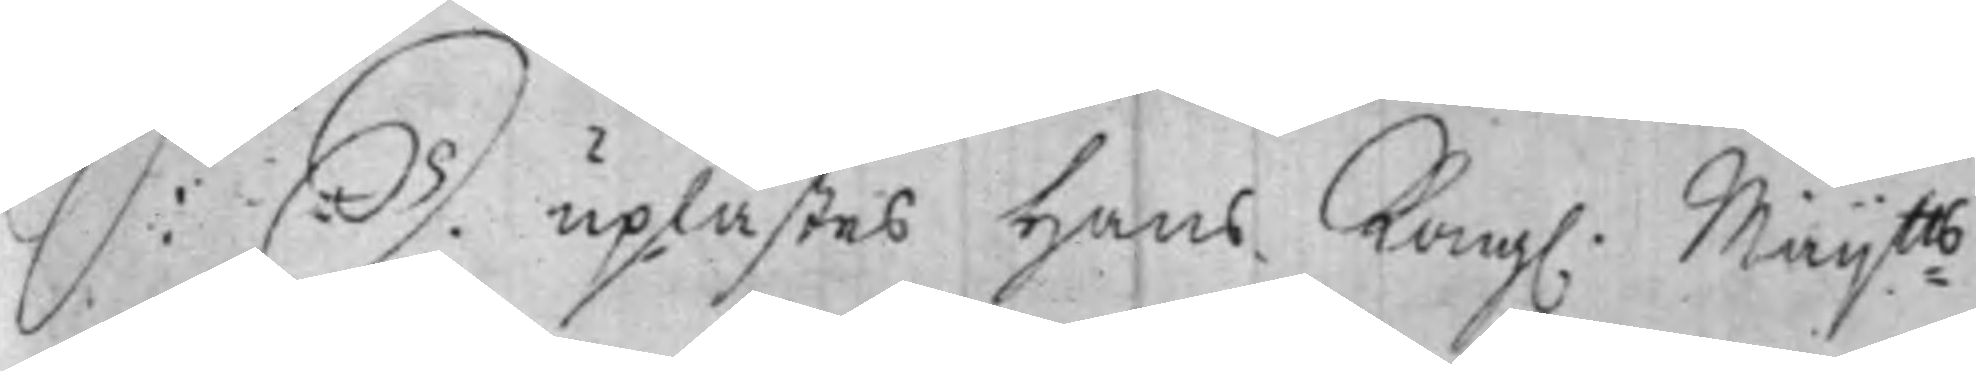S: D.  uplästes Hans Kong. Maij:tts
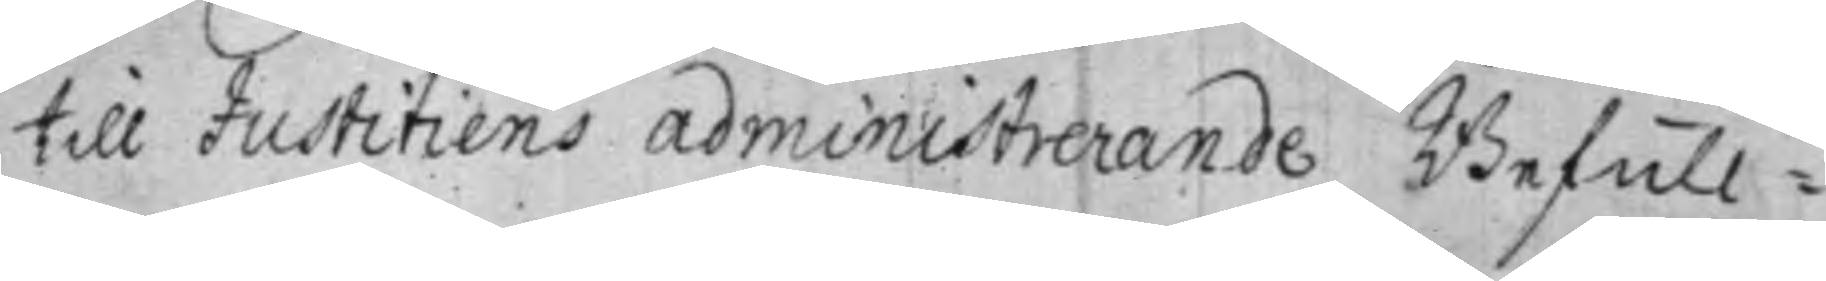till Justitiens administrerande Befull¬
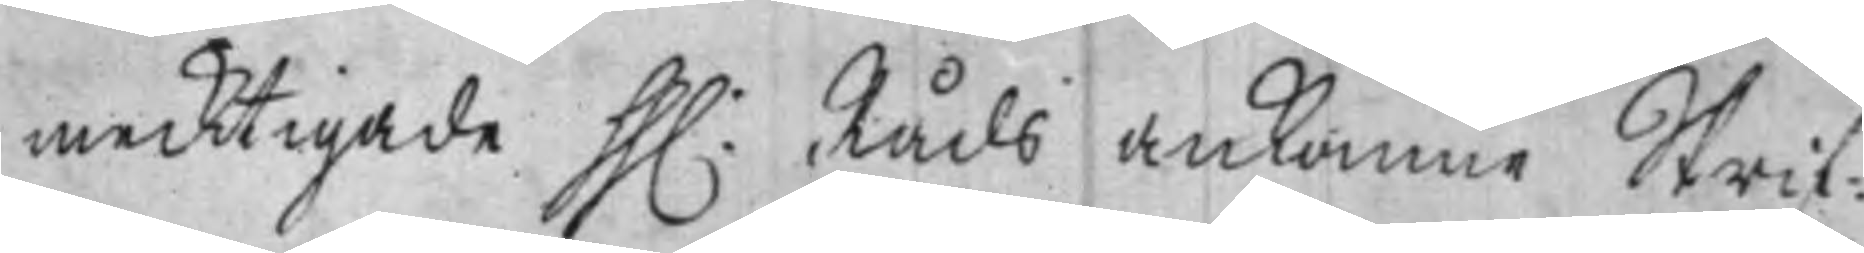mecktigade hh: Råds ankomne Skrif¬
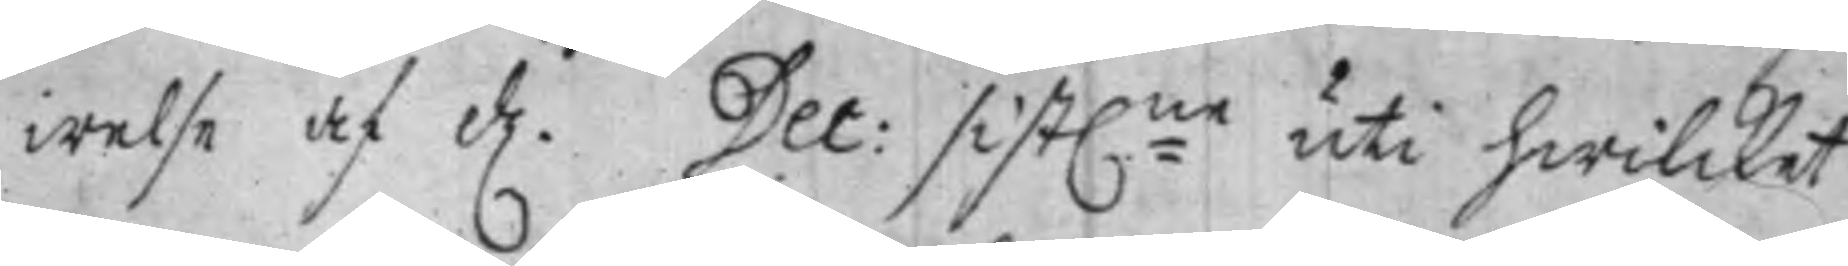welse af d. Dec: sist:ne uti hwilcket
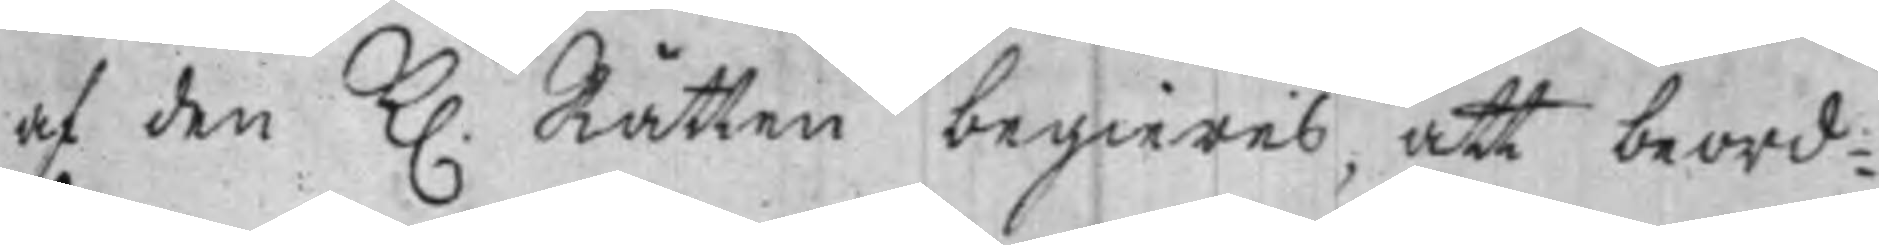af den K. Rätten begieres, att beord¬
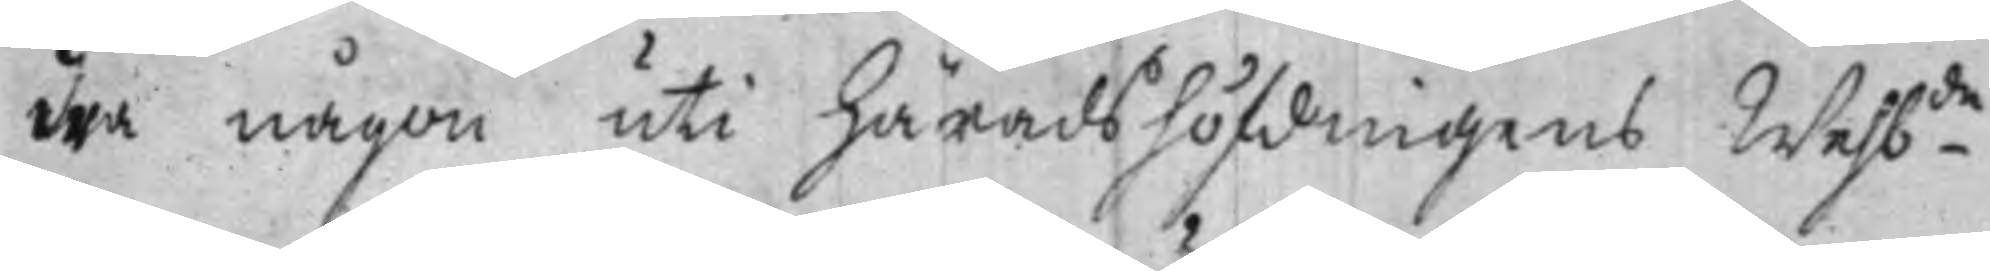dra någon uti Häradshöfdingens Welb.de
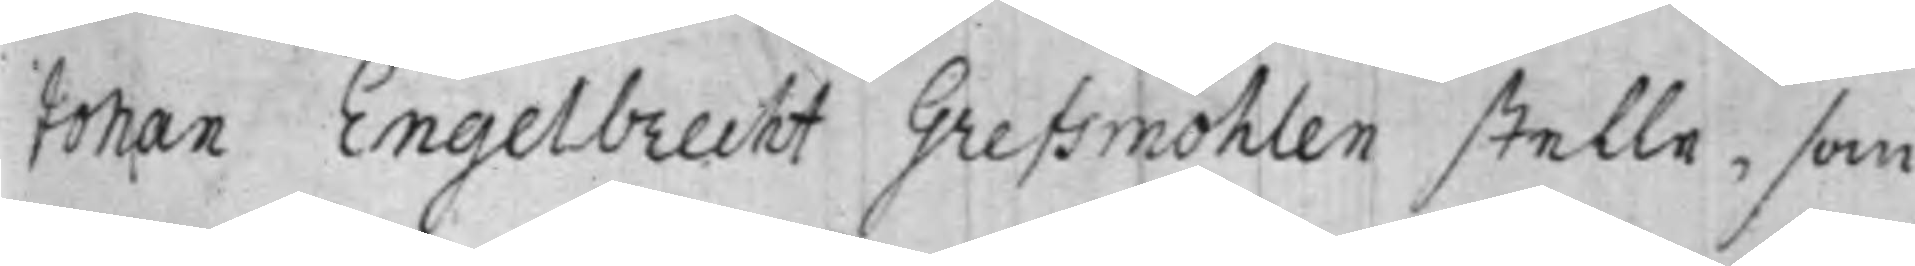Johan Engelbrecht Grefsmöhlen stelle, som
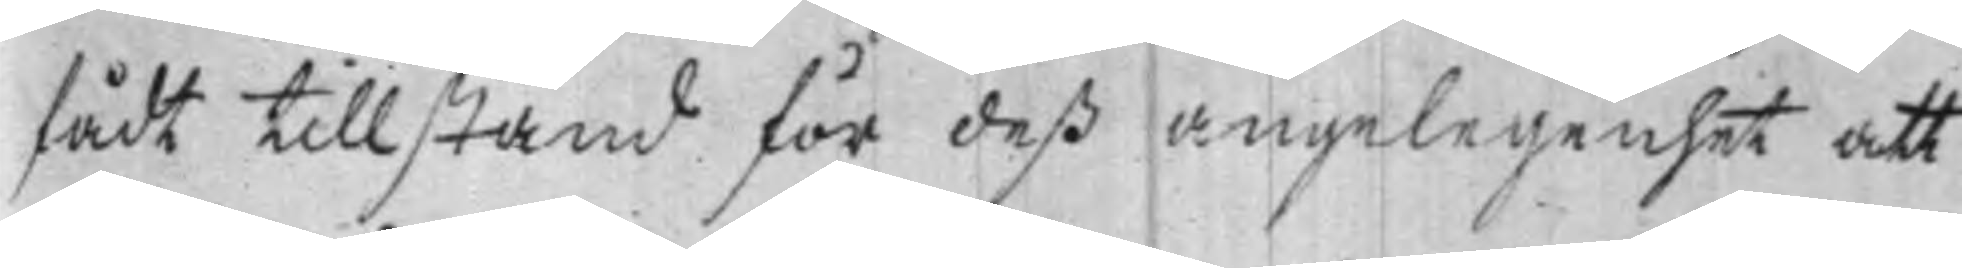fådt tillstånd för deß angelegenhet att
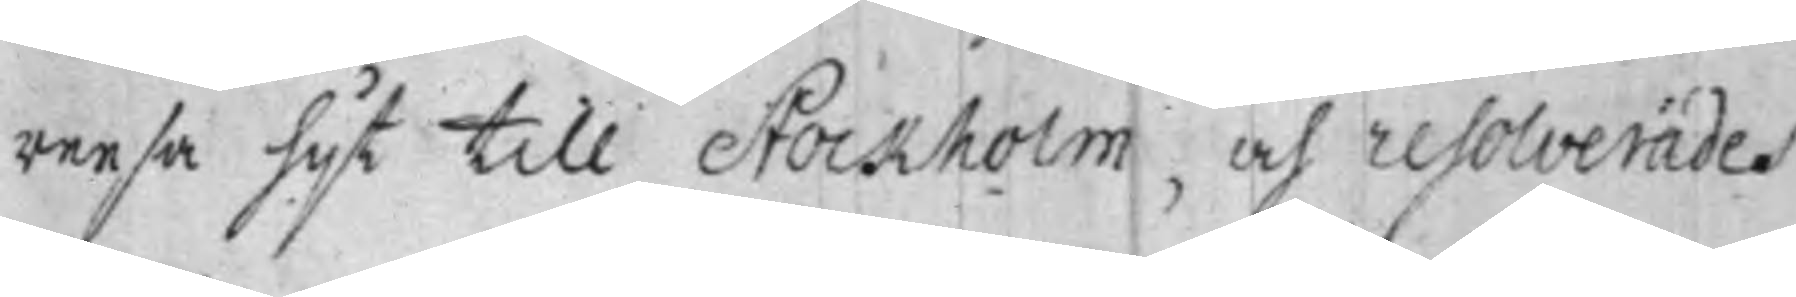reesa hijt till Stockholm, och resolverades
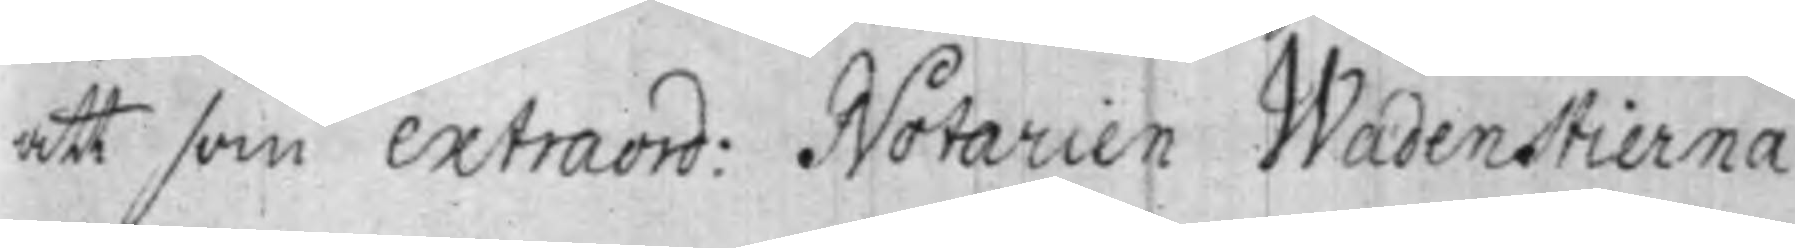att som extraord: Notarien Wadenstierna
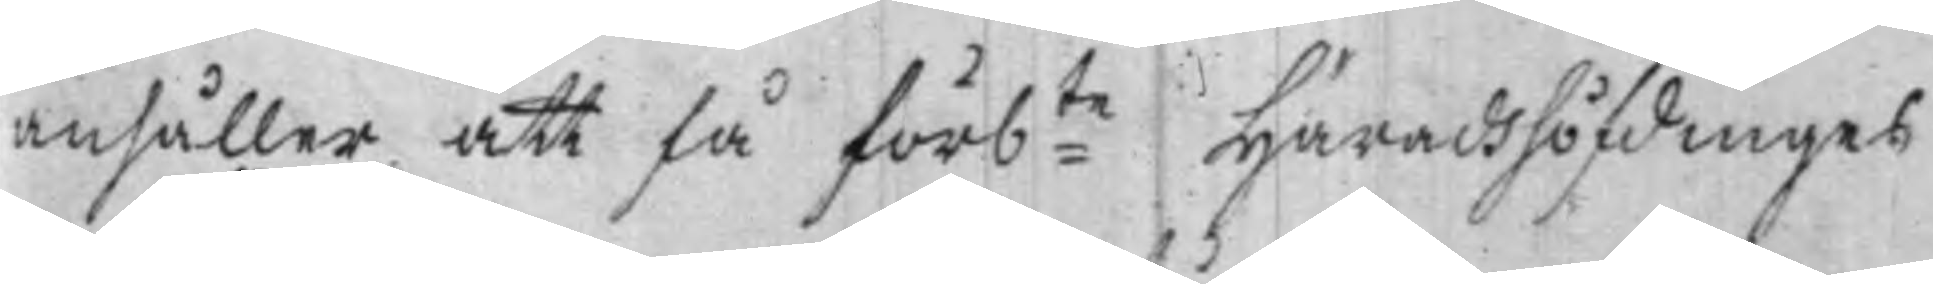anhåller att få förb:te Häradshöfdinges
